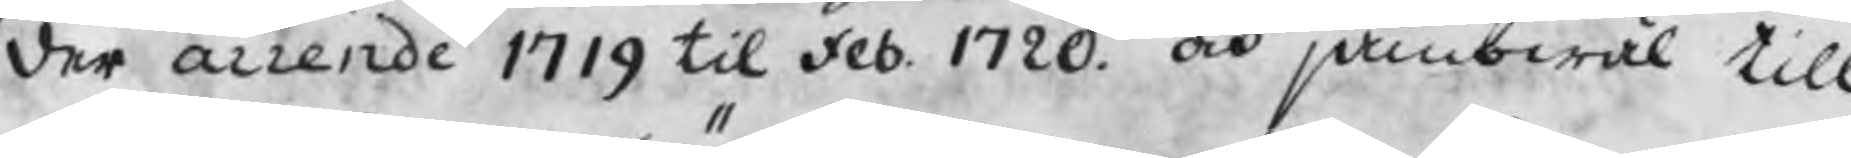der arrende 1719 til feb. 1720. och jämbwäl till
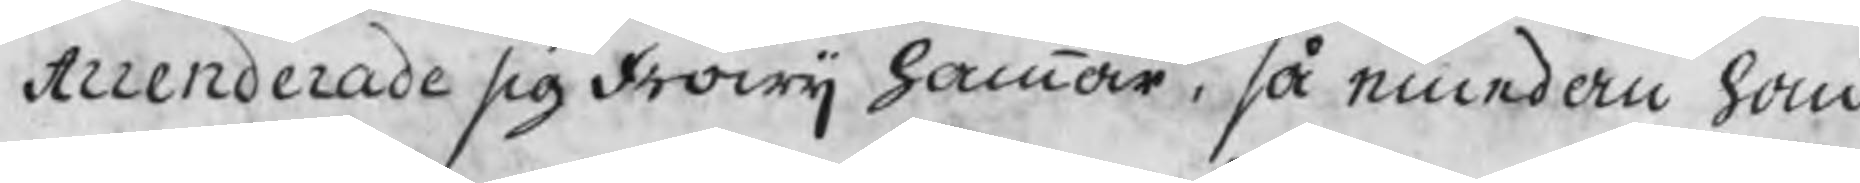Arrenderade sig Fröwij hammar, så emedan han
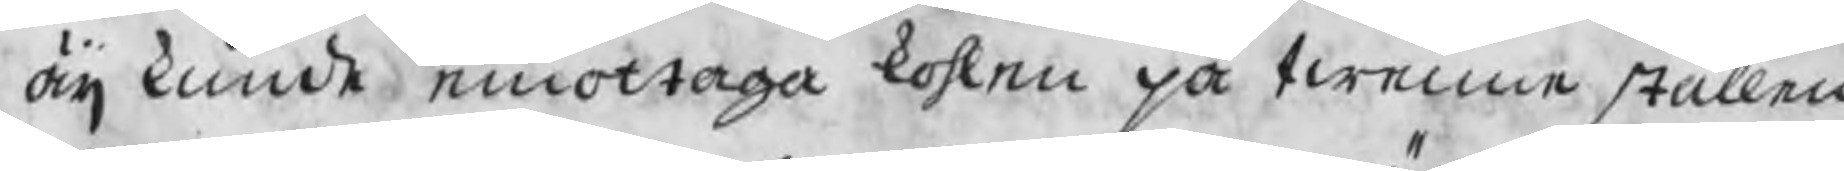äij kunde emottaga kohlen på twenne ställen
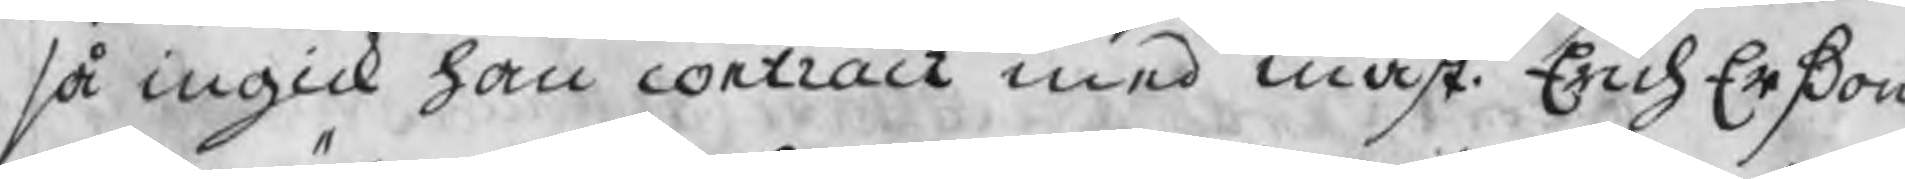så ingick han contract med mäst. Erich Erßon
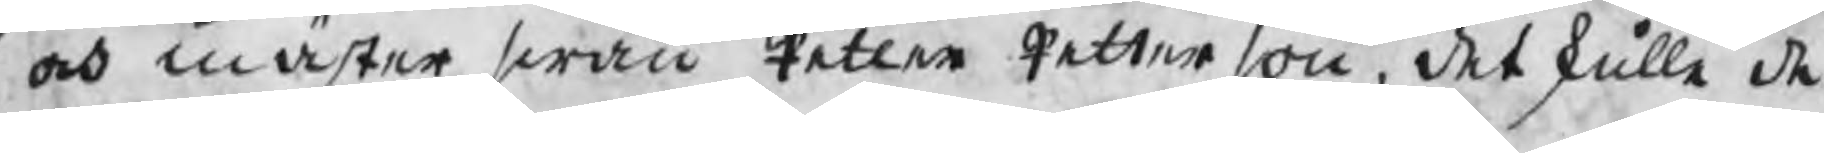och mäster swän Petter Petterson, det skulle de
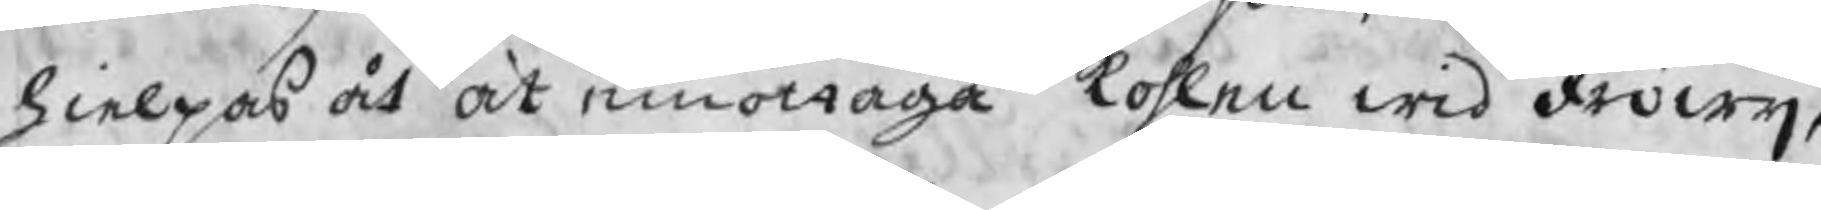hielpas åt at emottaga kohlen wid Fröwij,
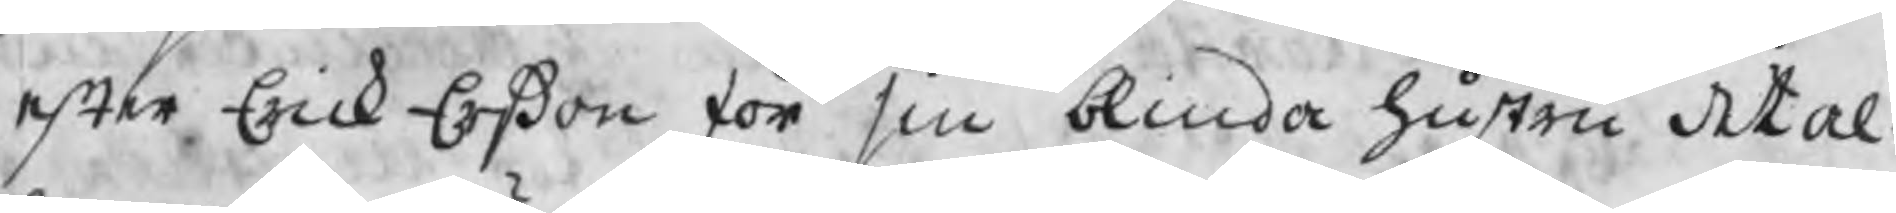efter Erick Erßon för sin blinda hustru det al¬
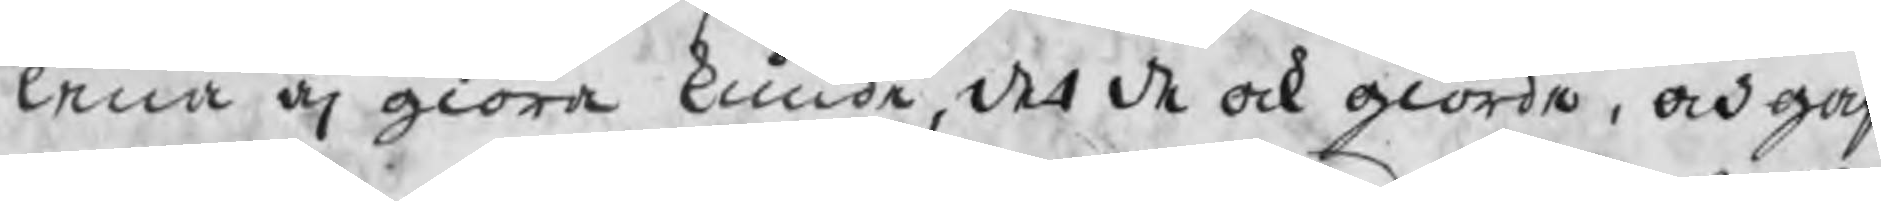lena äj giöra kunde, det de ock giorde, och gaf
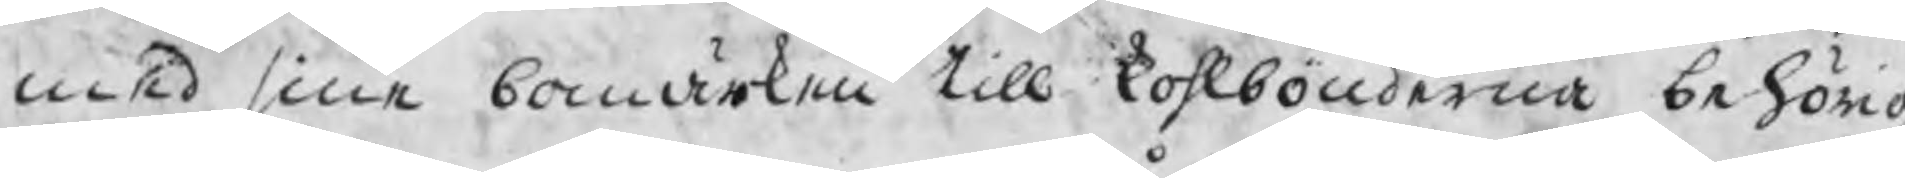med sine bomärken till kohlbönderna behörig
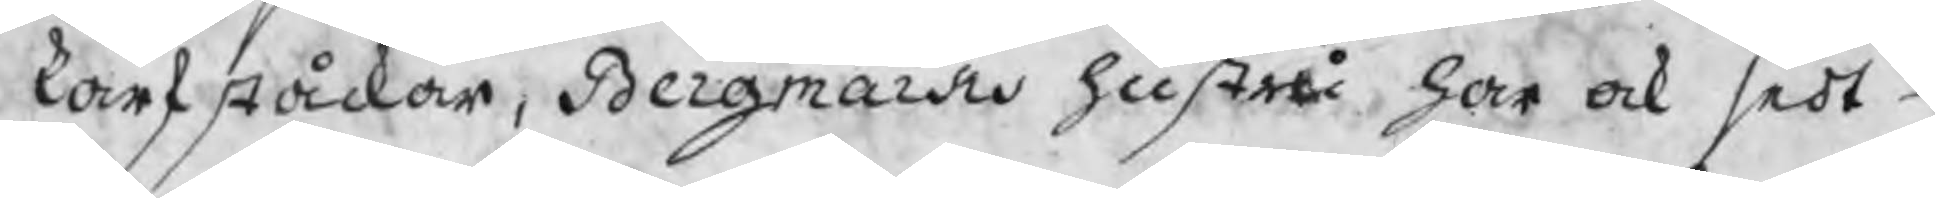karfståckar, Bergmarks hustru har ock sedt
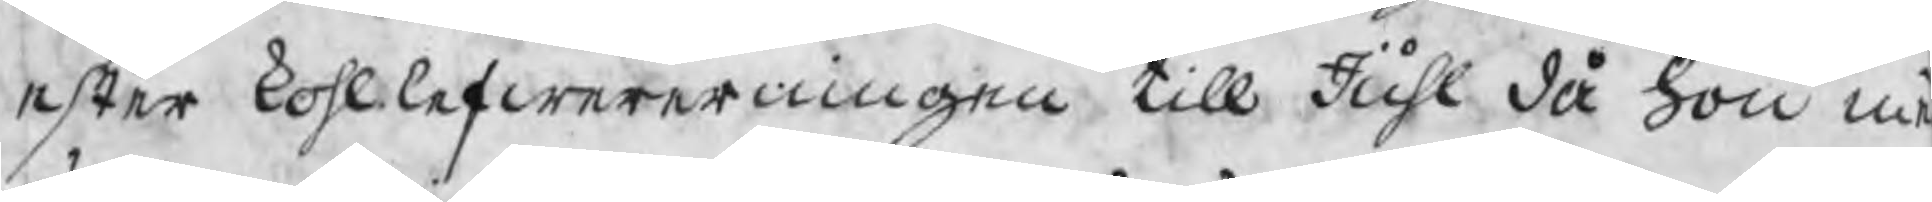efter kohllefwereringen till Juhl då hon m
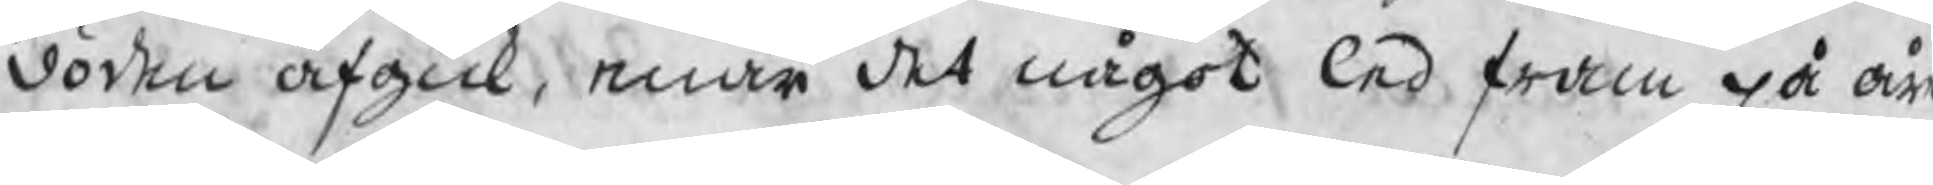döden afgick, enär det något led fram på år
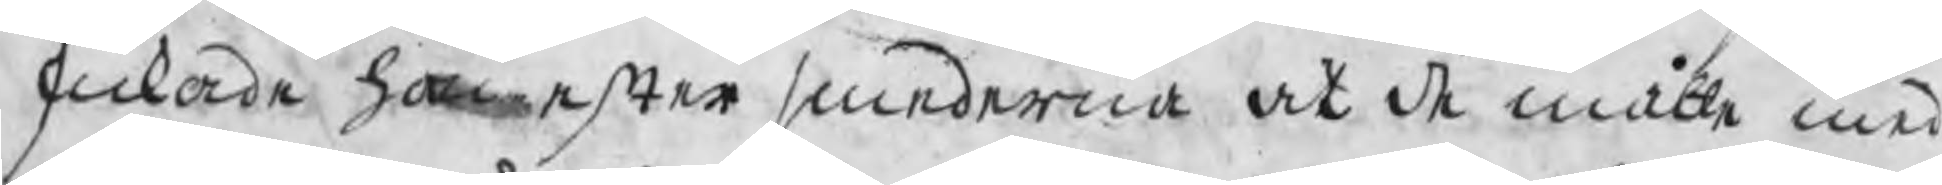skickade hon efter smederna at de måtte med
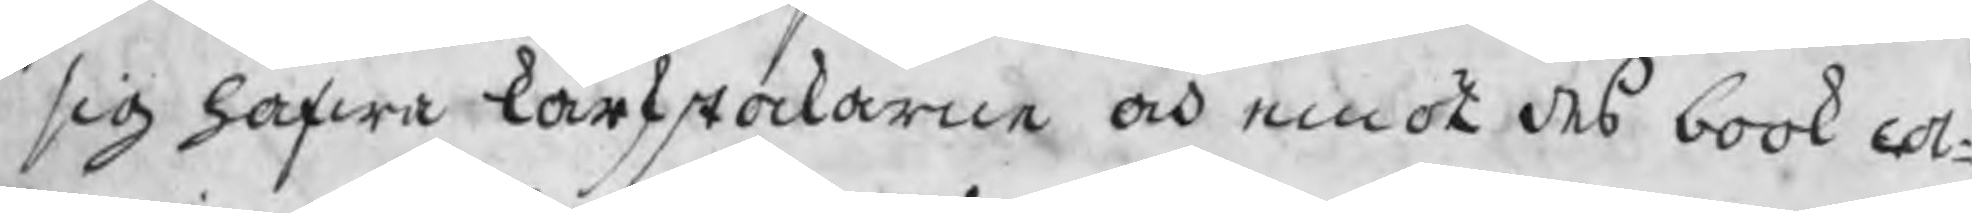sig hafwa karfstockarne och emot des book col¬
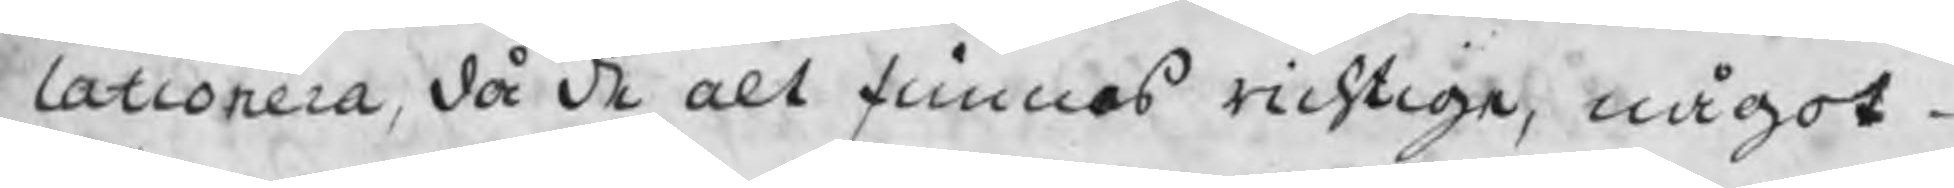lationera, då de alt finnas richtige, något
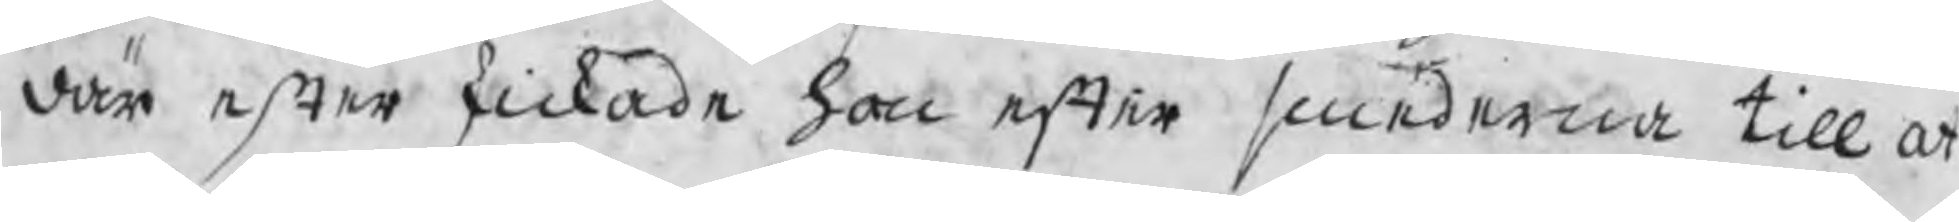där efter skickade hon efter smederna till at
